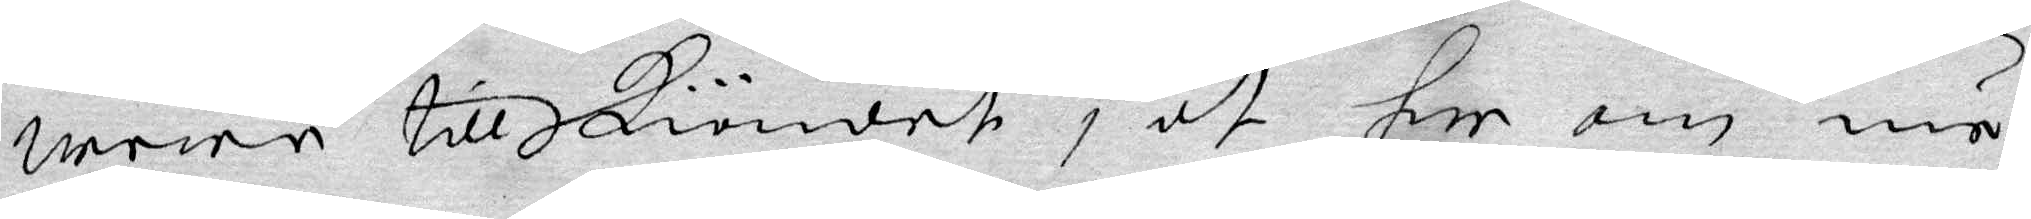wara till skiöndet, at her om nu
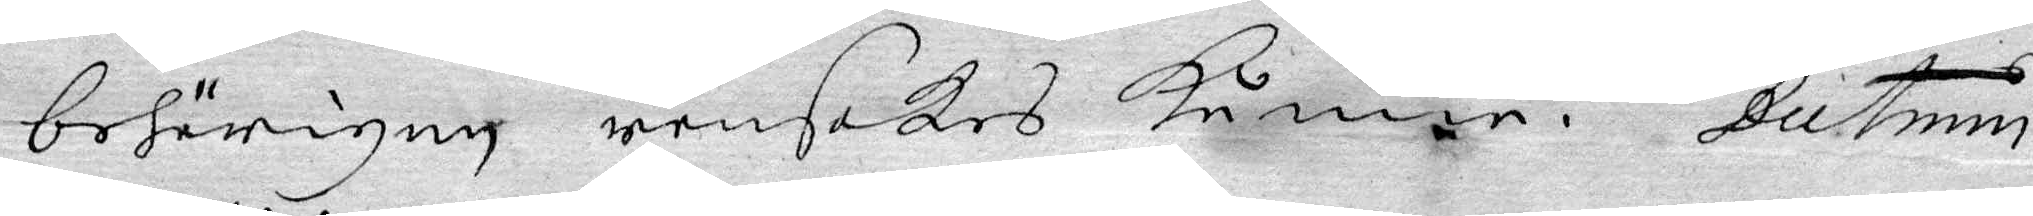behörigen ransakas kunna. Datum
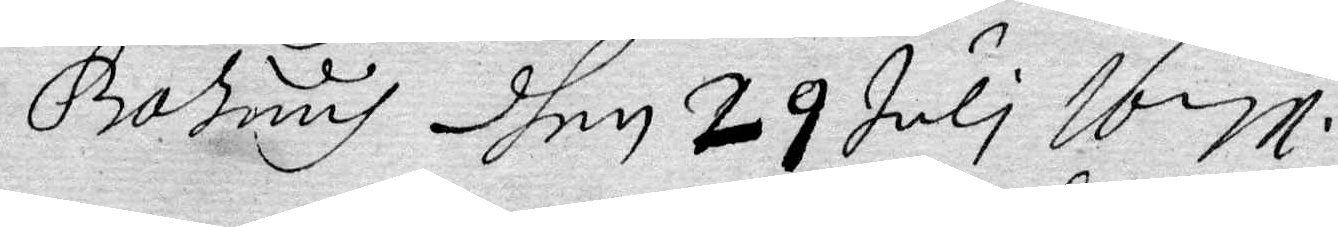Bohuus dhen 29 juli Ibm.
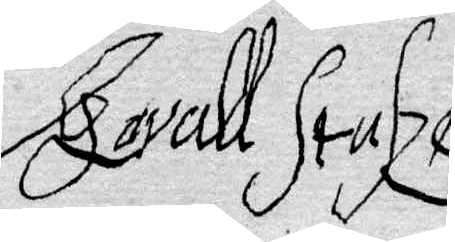Gavall Stasze
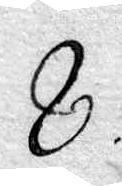8.
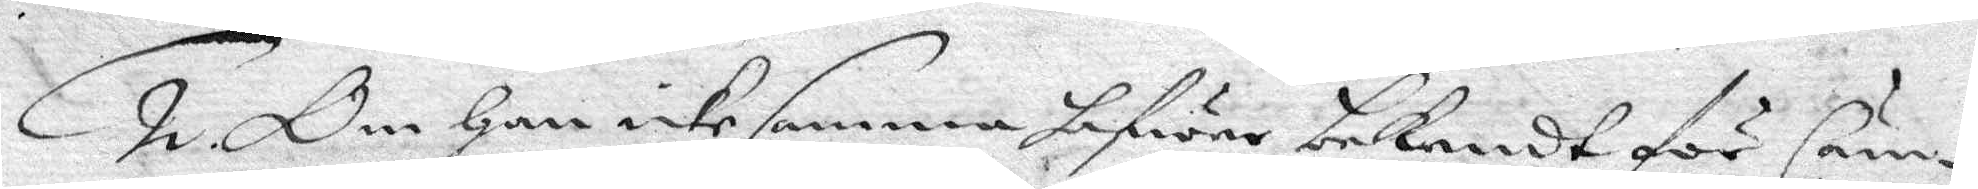2. Om Han icke samma hawer bekendt för Cäm¬
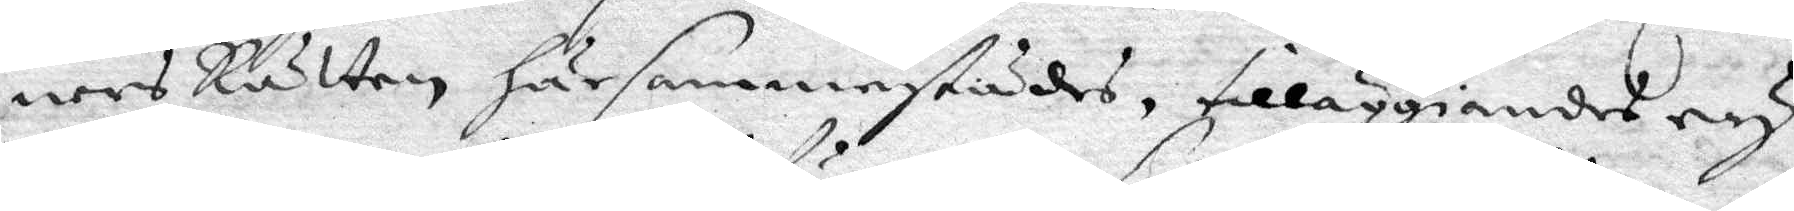ners Rätten  härsannestädes, tilläggiandes ey
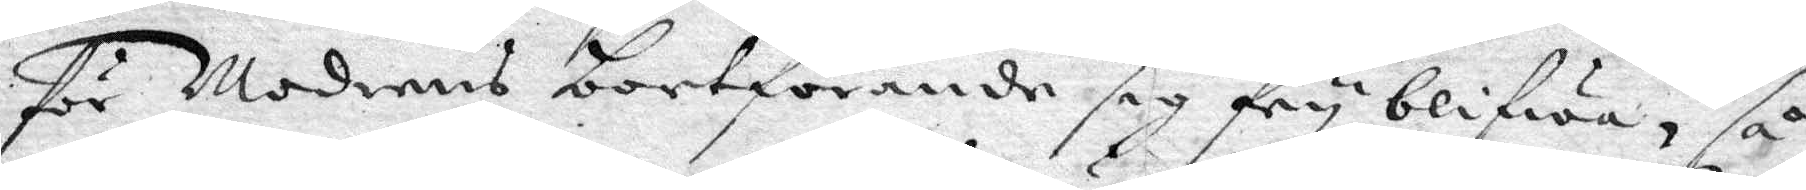för Moderns bortförande sig fry blifwa, så
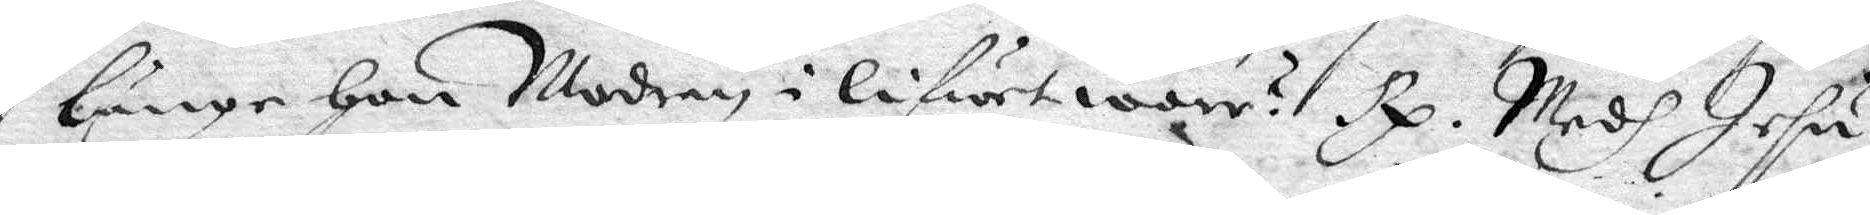länge Hon Modern i lifwer wore? Rp. Medh Jesu
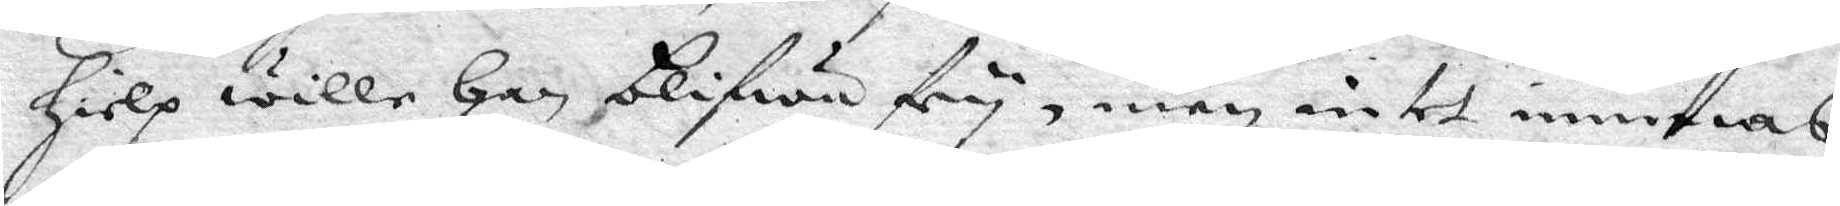Hielp wille Han blifwa fry, men intet innieras
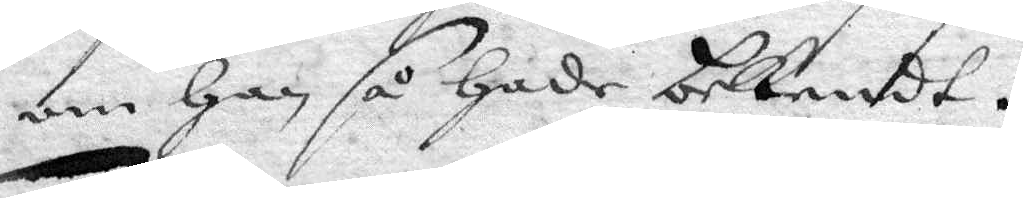om Han så Hade bekendt.
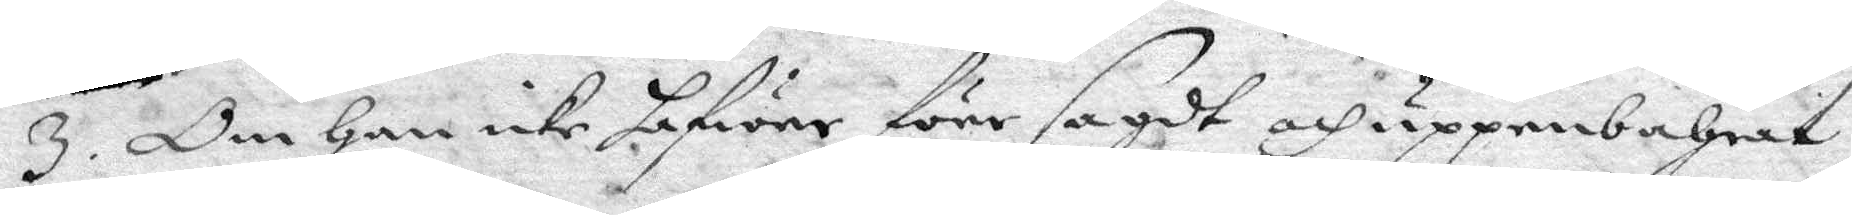3. Om Han icke hafwer före sagdt och uppenbarat
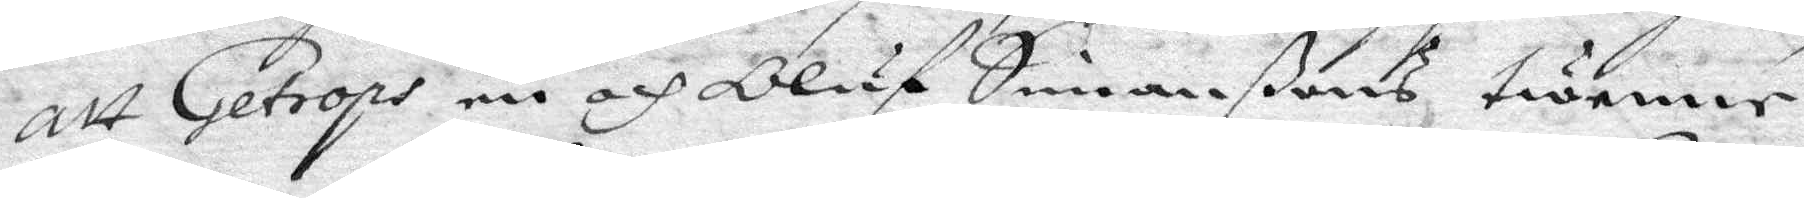att Getrops en och Oluf Simonßons twenne
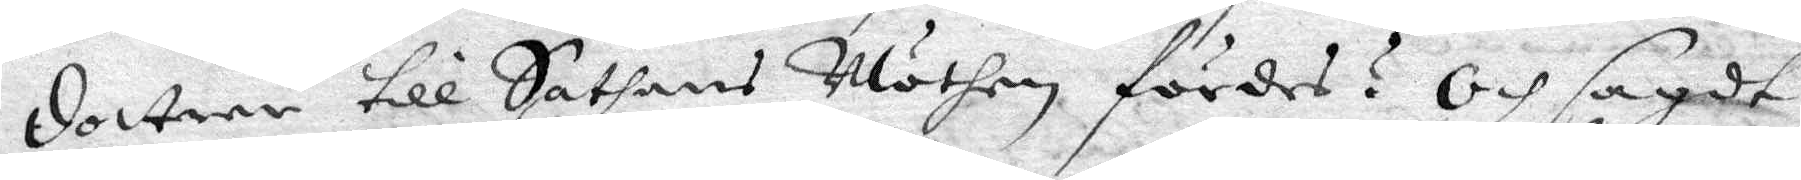dottrar till Sathans Möthen fördes? Och sagdt
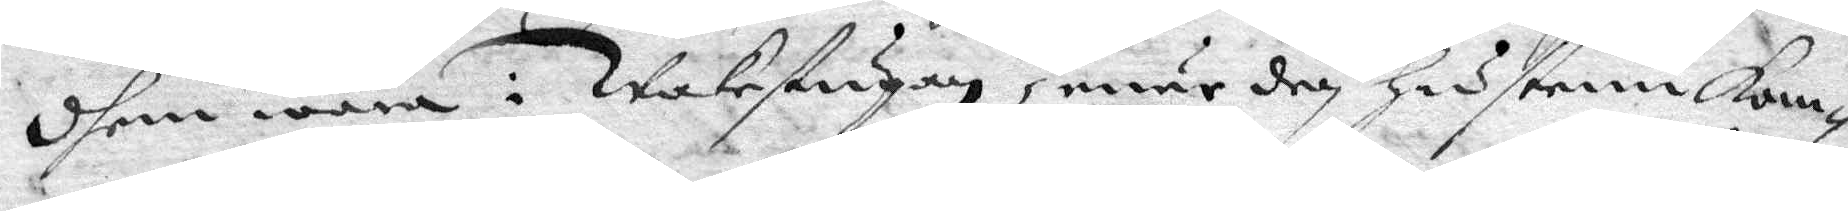dhem wara i Wakestugu, enär den Hustrun kom¬
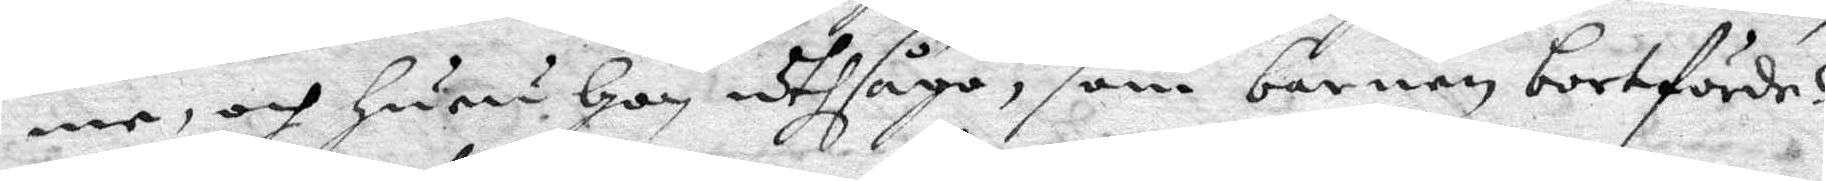me, och Hurur Hon uthsågo, som barnen bortförde?
